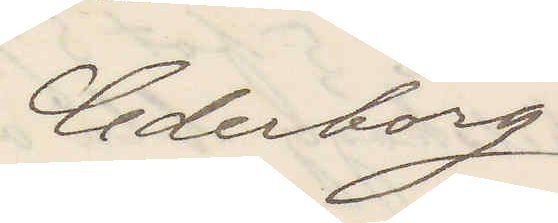Cederborg
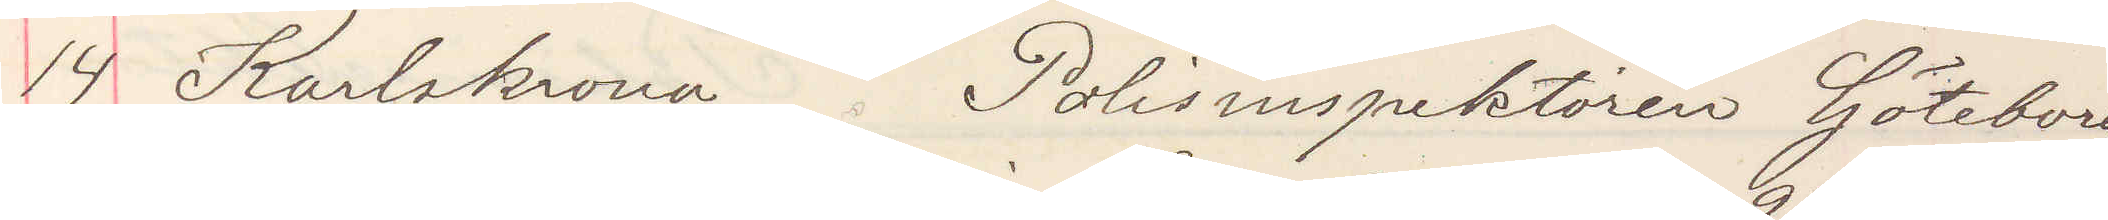14 Karlskrona Polisinspektoren Göteborg
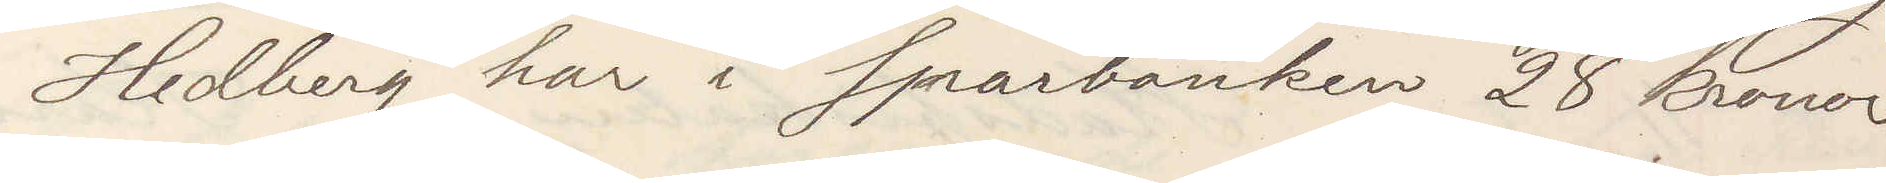Hedberg har i Sparbanken 28 kronor
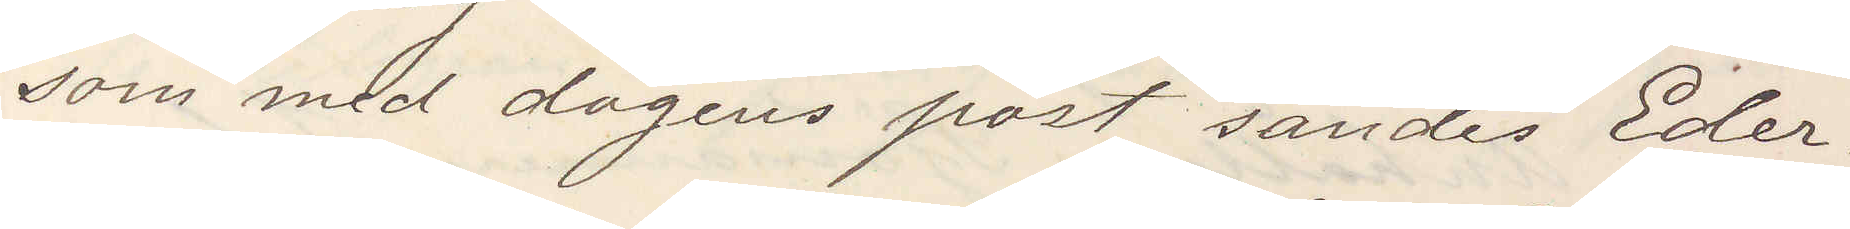som med dagens post sändes Eder.
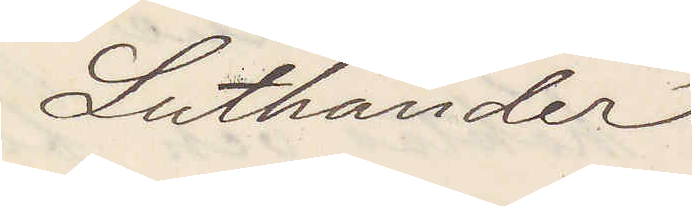Luthander
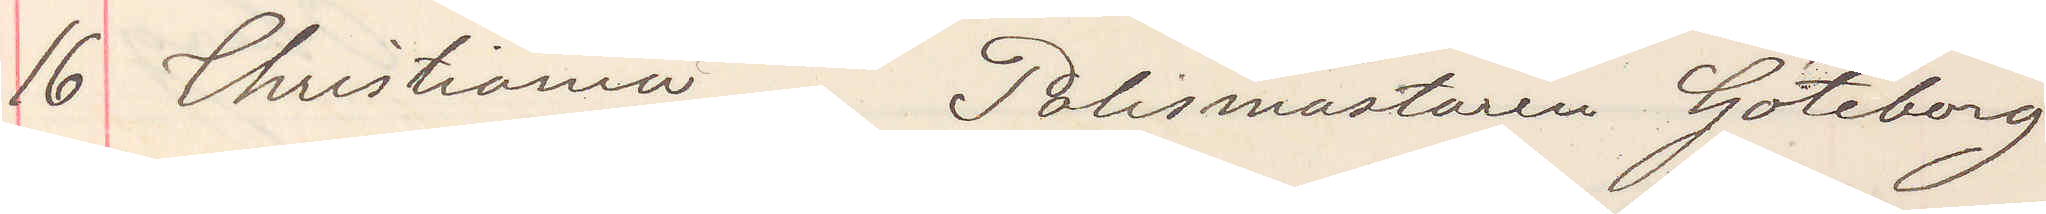16 Christiania Polismästaren Göteborg
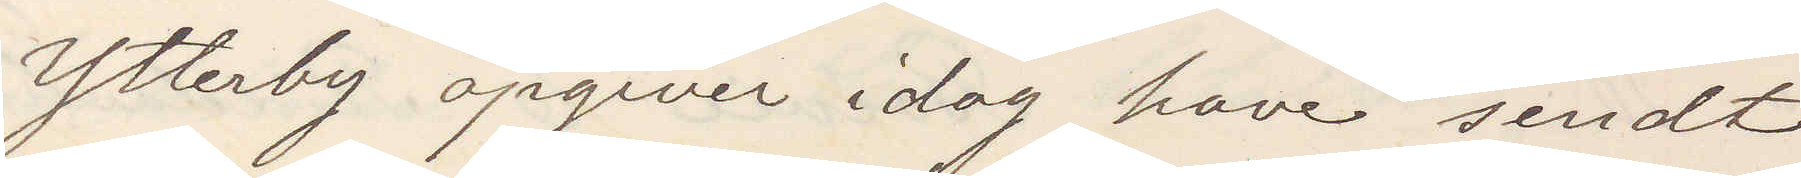Ytterby opgiver idag have sendt
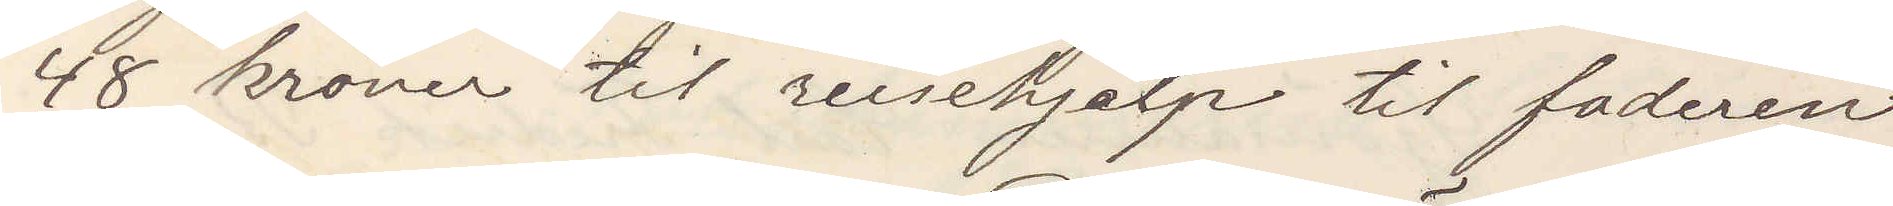48 kronor til reisehjälp til faderen
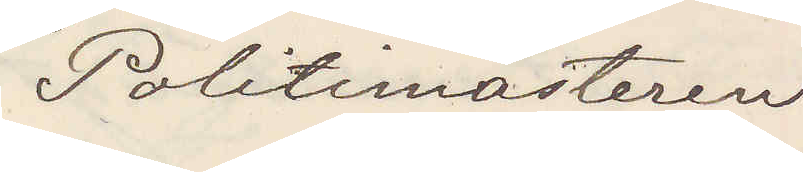Politimästeren
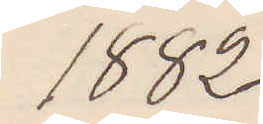1882
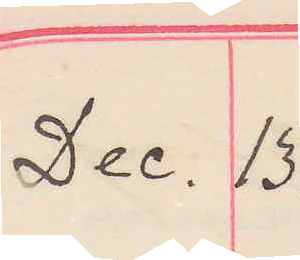Dec. 13.
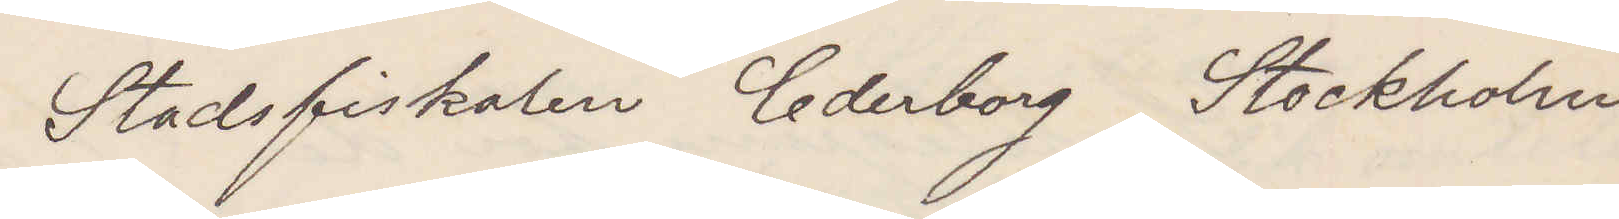Stadsfiskalen Cederborg Stockholm
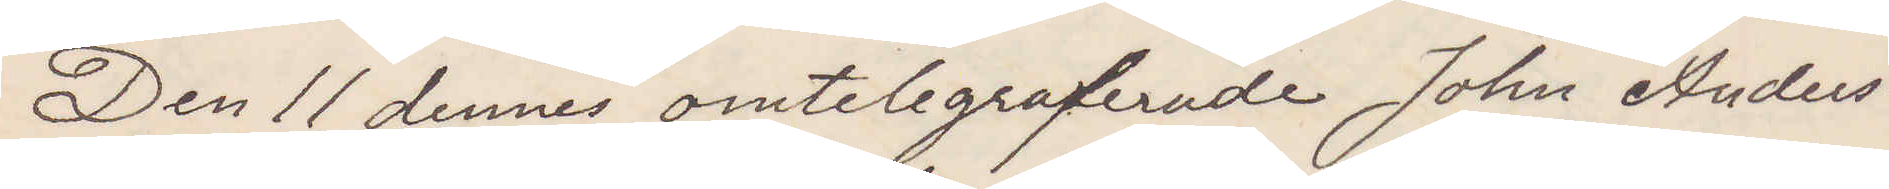Den 11 dennes omtelegraferade John Anders¬
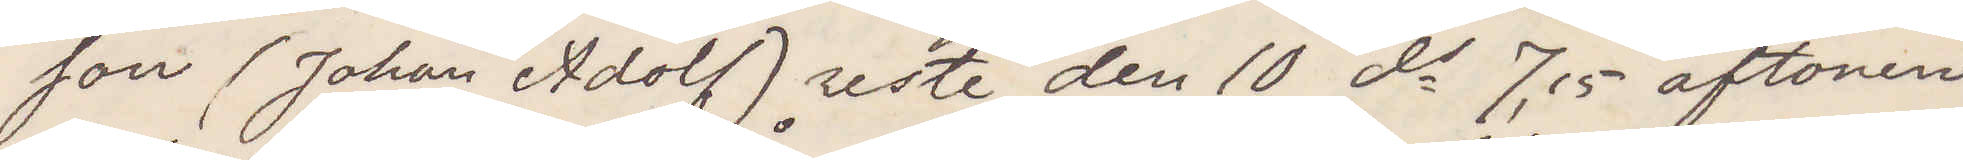son (Johan Adolf) reste den 10, ds 7,15 aftonen
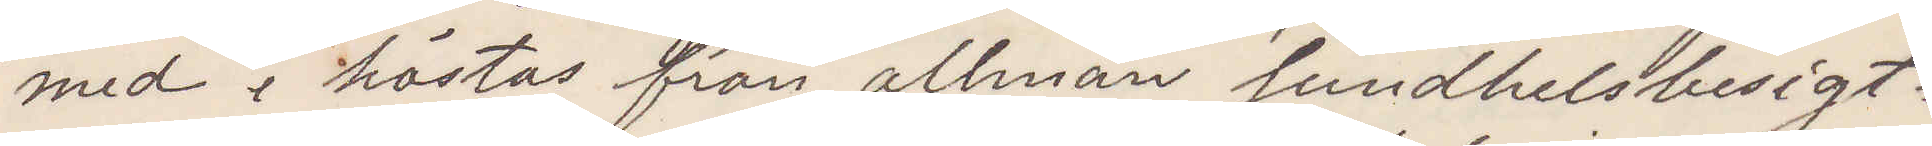med i höstas från allmän Sundhetsbesigt¬
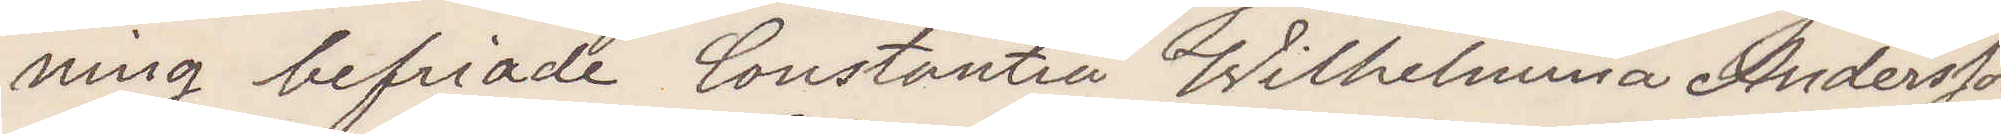ning befriade Constantia Wilhelmina Andersson
